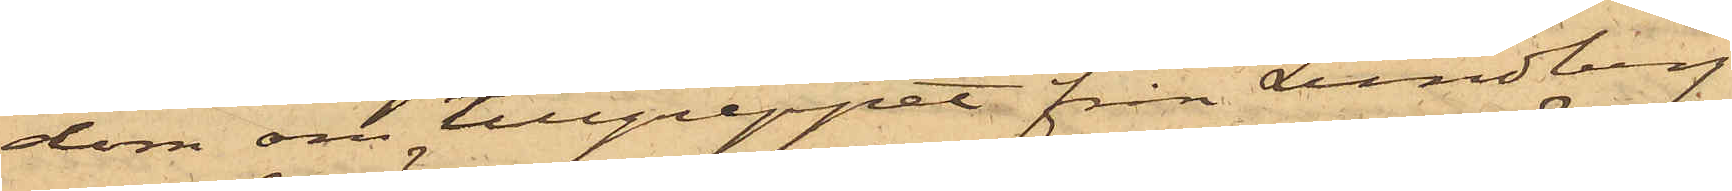dom om tillgreppet från Lundberg
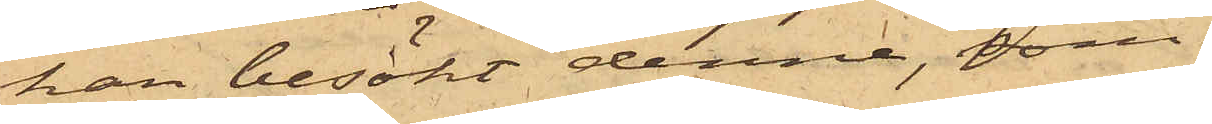han besökt denne, som
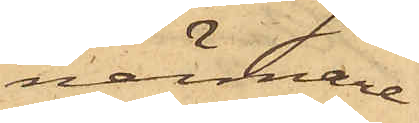närmare
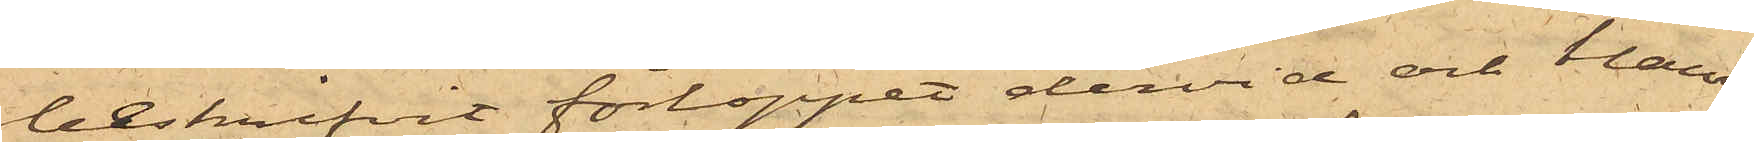beskrifvit förloppet dervid och bland
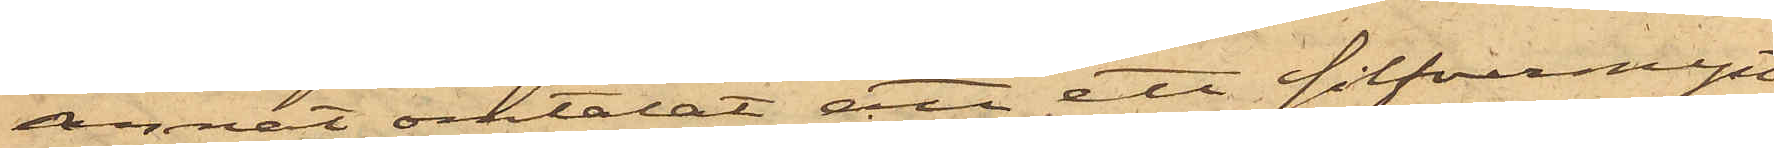annat omtalat att ett silfvermynt
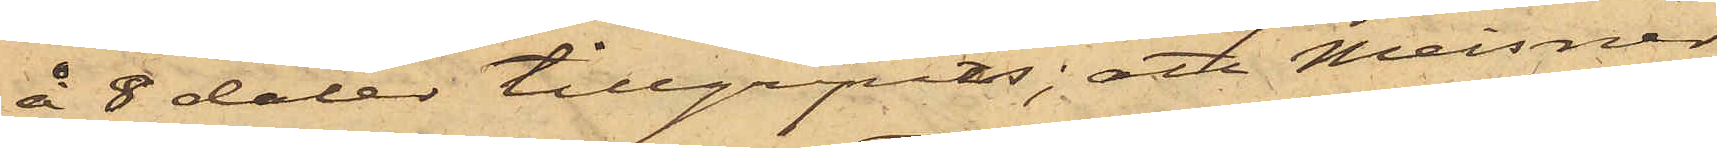å 8 daler tillgripits; att Meisner
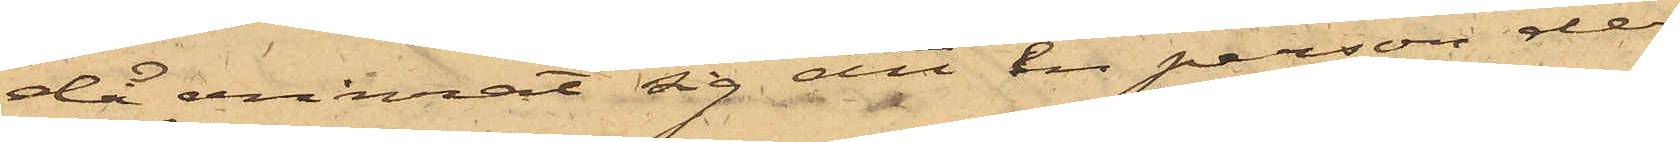då erinrat sig att en person der¬
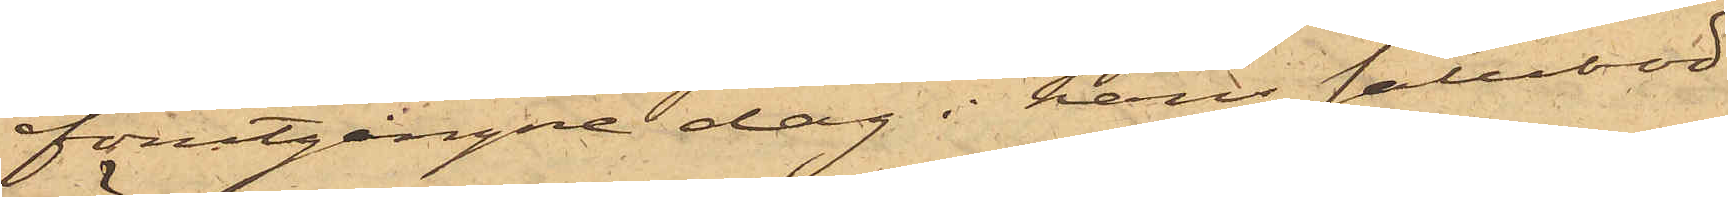förutgångne dag i hans salubod
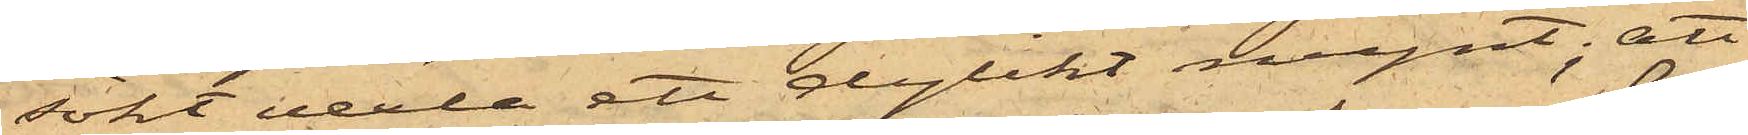sökt vexla att dylikt mynt; att
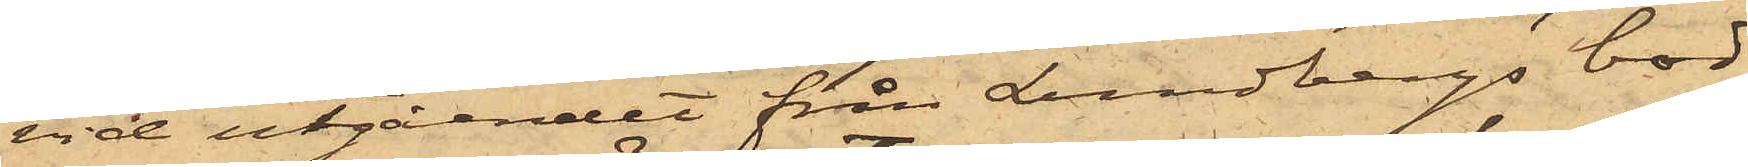vid utgåendet från Lundbergs bod
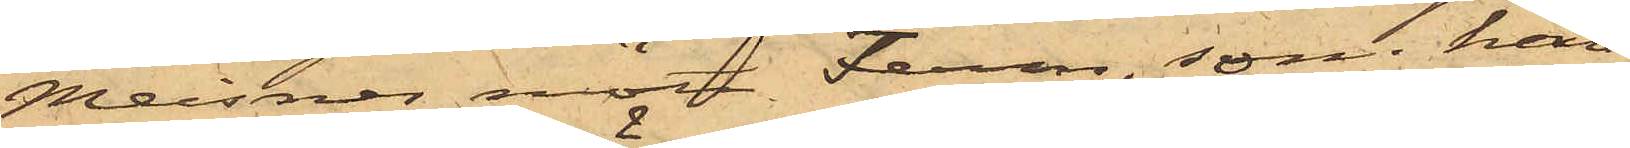Meisner mött Ferm, som han
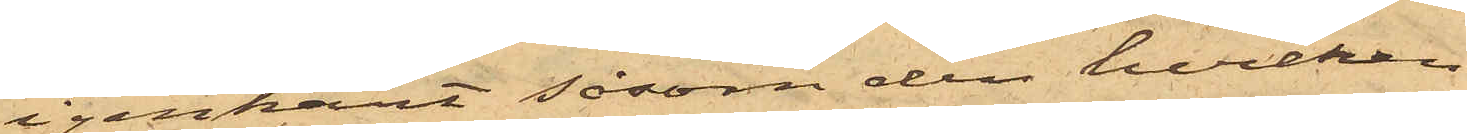igenkänt såsom den hvilken
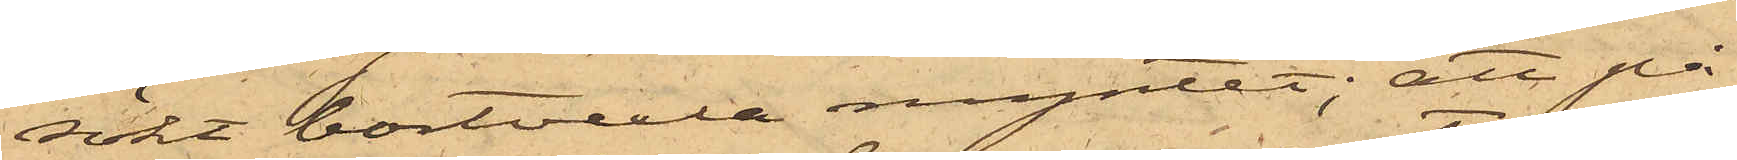sökt bortvexla myntet; att på
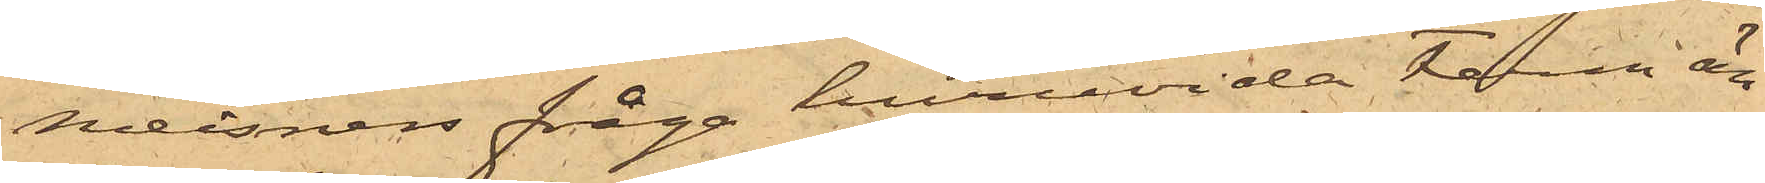Meisners fråga huruvida Ferm än¬
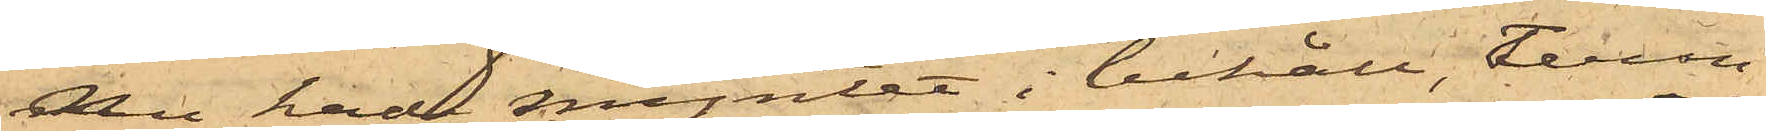nu hade myntet i behåll, Ferm
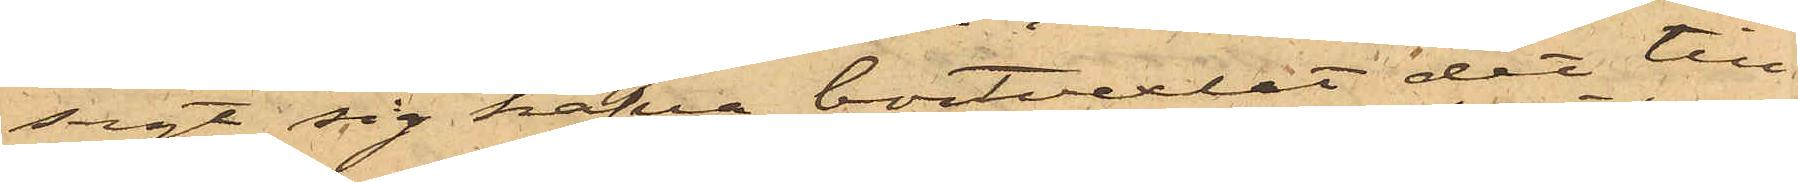sagt sig hafva bortvexlat det till¬
